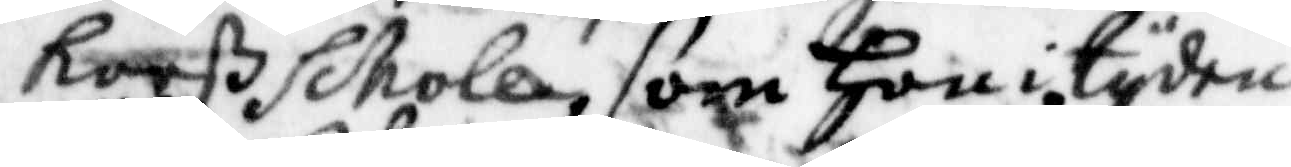Korß schole som Hon i tyden
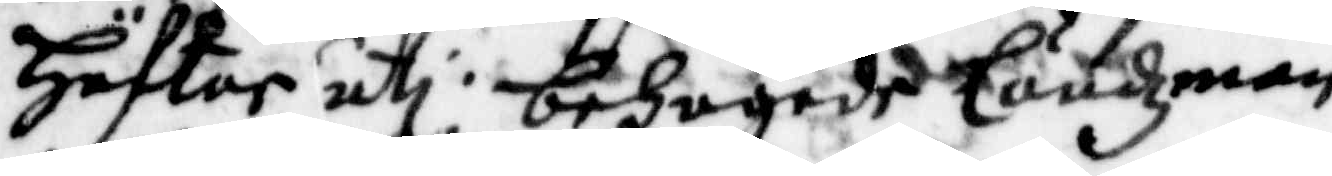Häftor uti behagade ländzman
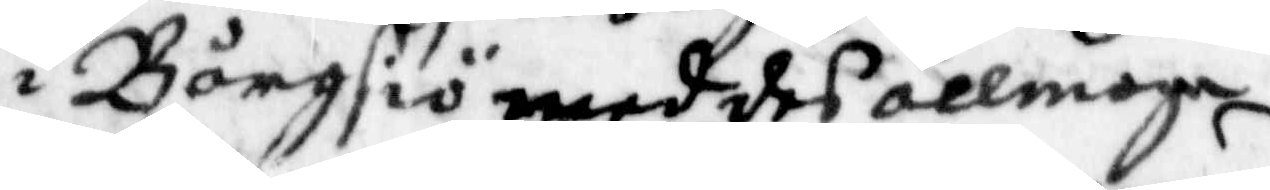i Bångsiö med des allmoge
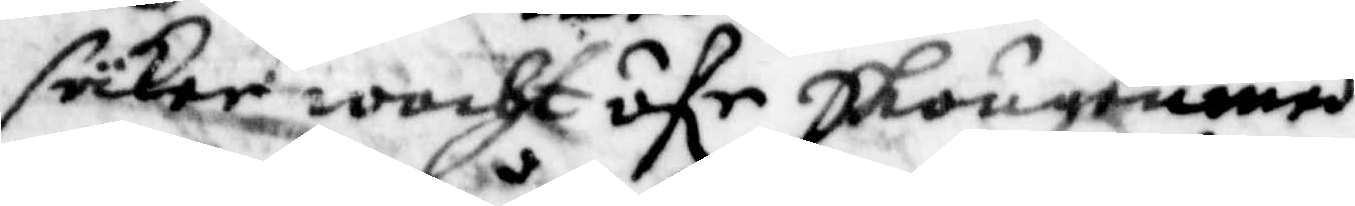säcker wacht öfr Skougen med¬
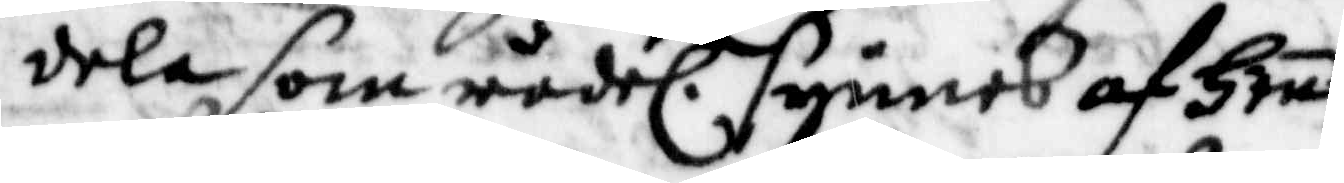dela som rödel. synnes af Henes
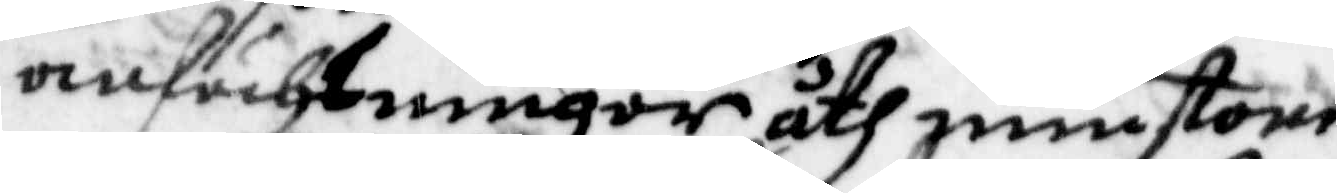anfächtningat åthminstone
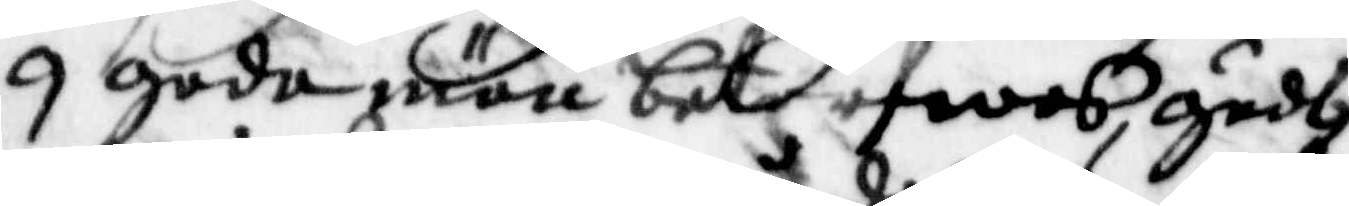9 gode män betarfwes, gudh
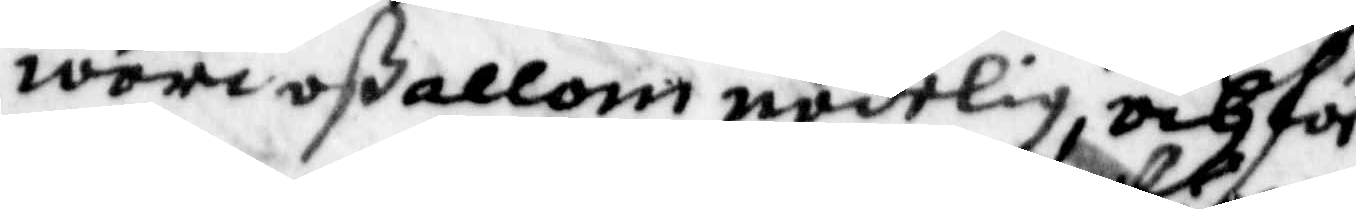wori oß allom nådelig, och för¬
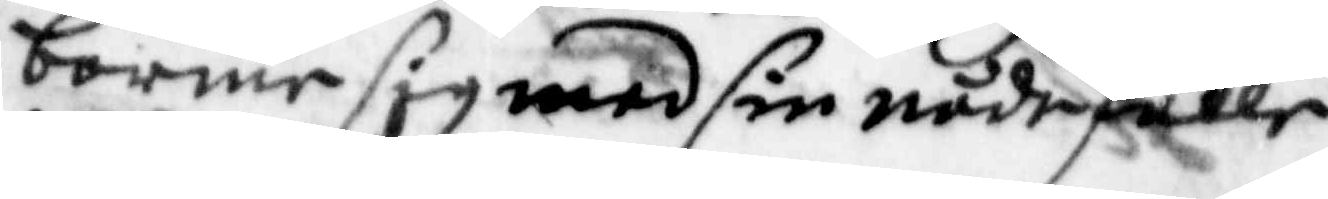barme sig med sin nådefulle
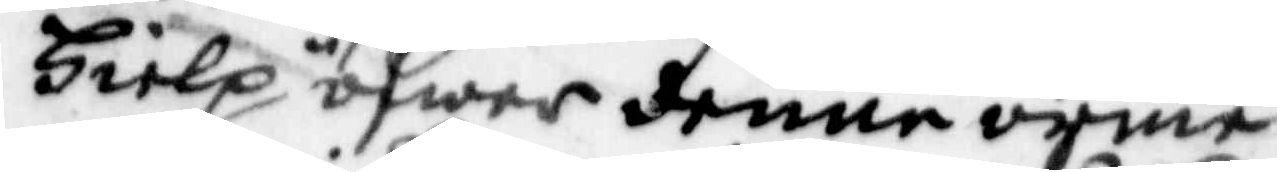Hielp öfwer denne arme
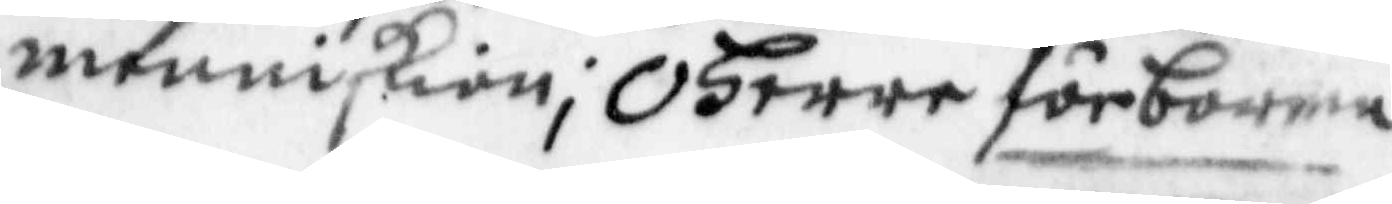menniskien; O Herre förbarma
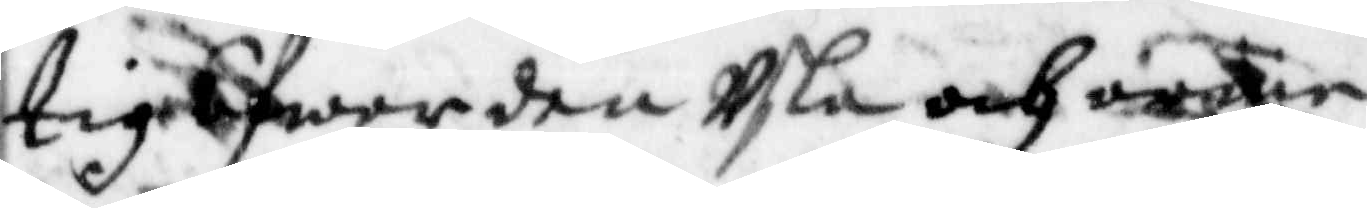tig öfwer den Usla och arme
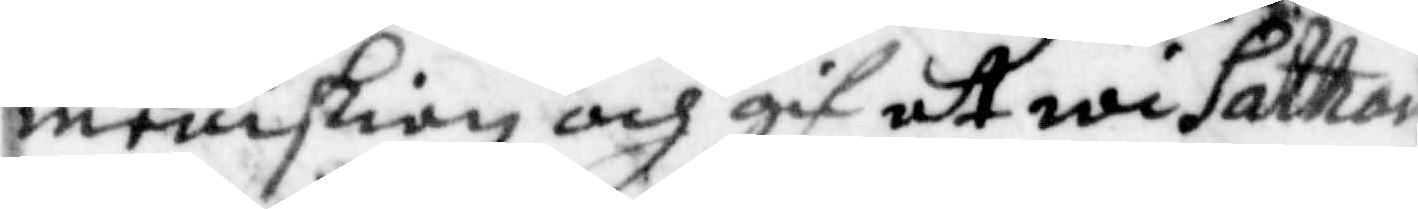meniskian och gif att wi Sathan
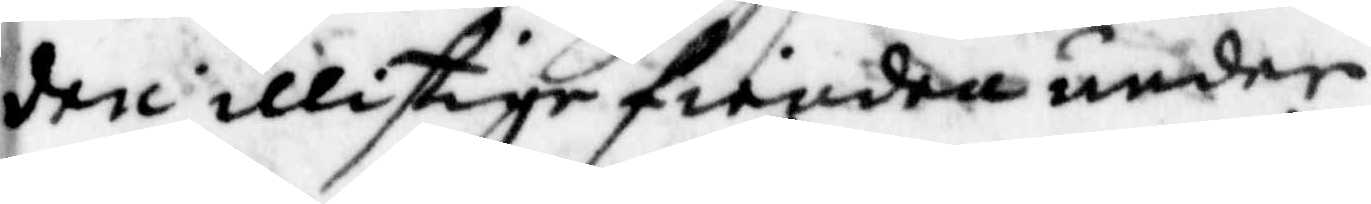den illistige fienden under
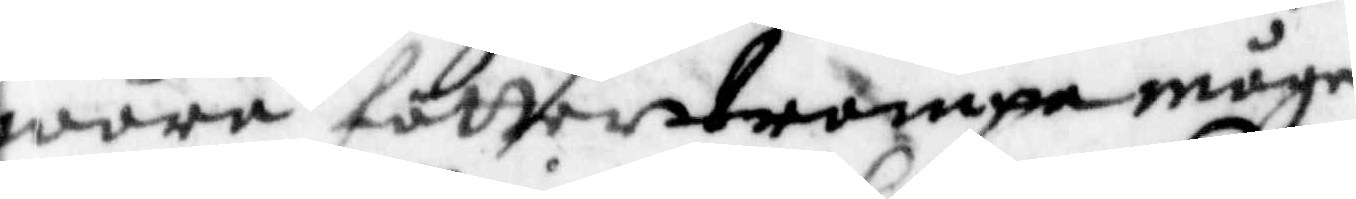wåra fötter trampa måge
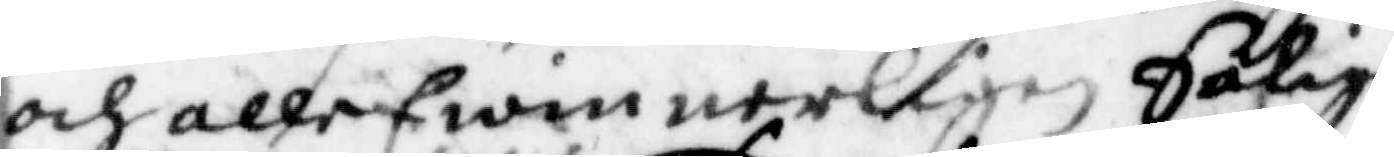och alle Ewinnerligen Salige
